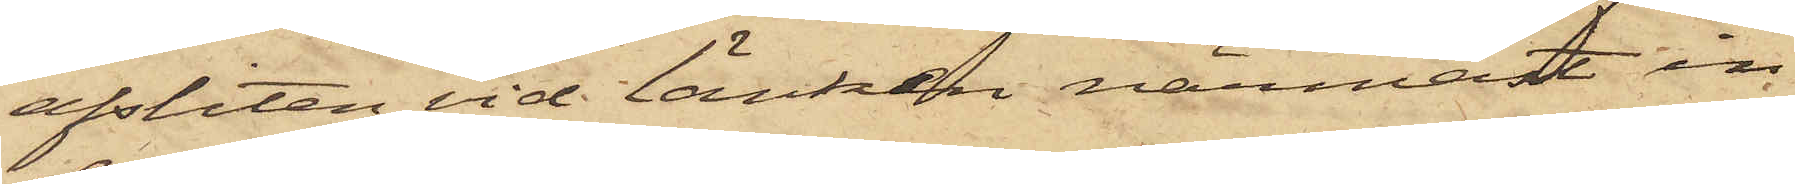afsliten vid länken närmast in¬
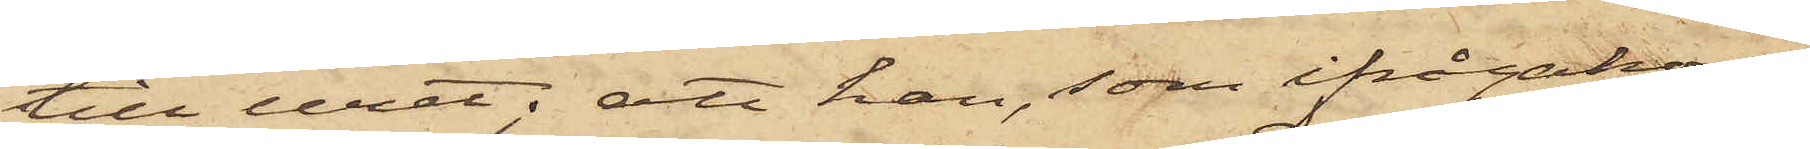till uret; att han, som ifrågakom¬
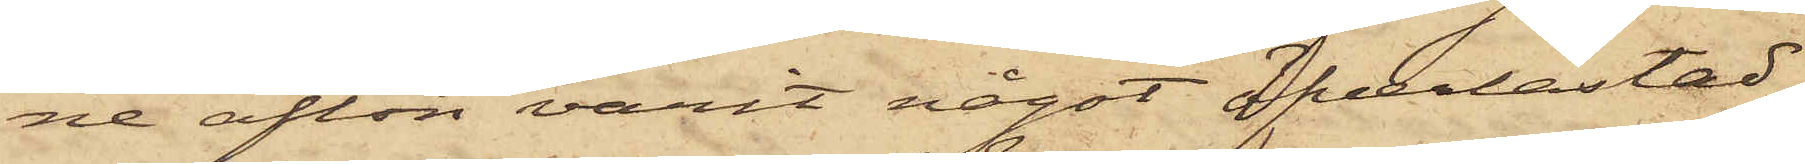ne afton varit något öfverlastad,
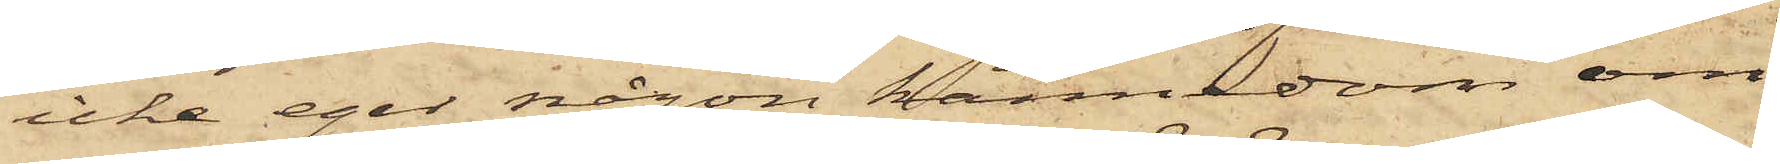icke eger någon kännedom om
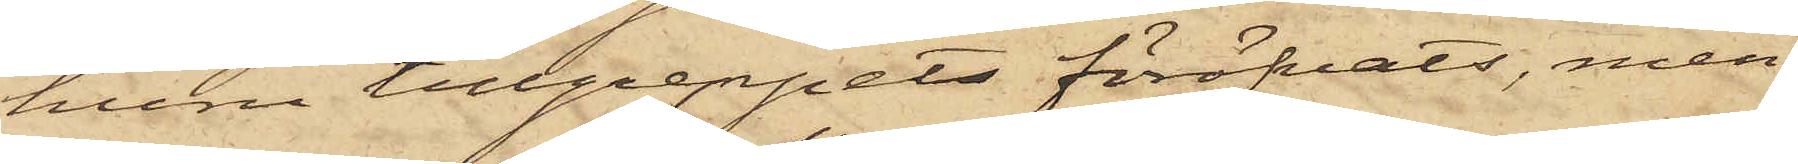huru tillgreppet föröfvats, men
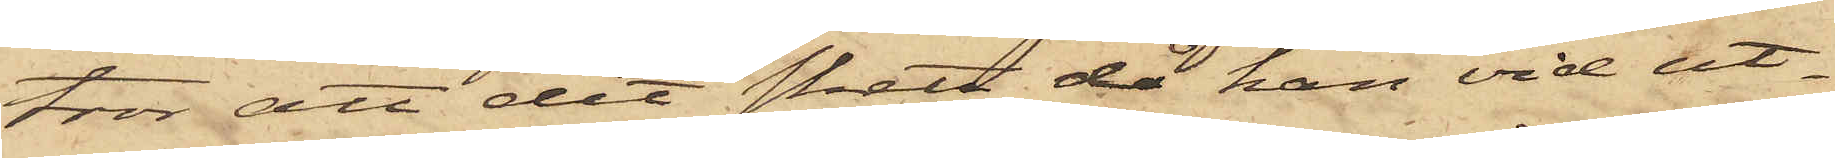tror att det skett då han vid ut¬
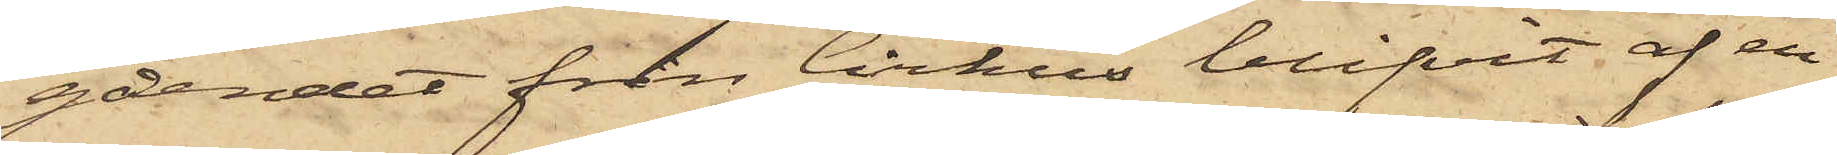gåendet från Cirkus blifvit af en
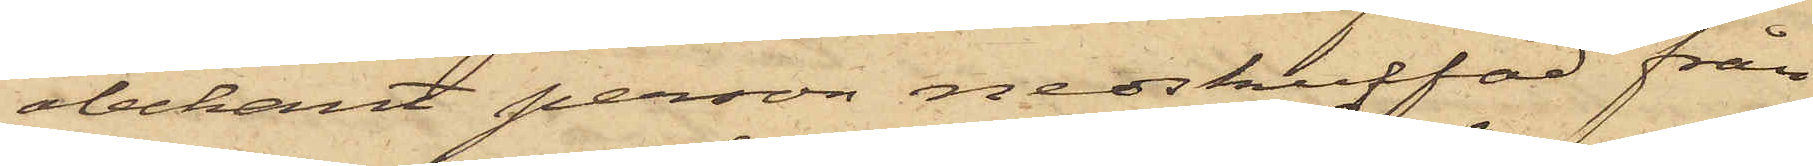obekant person nedskuffad från
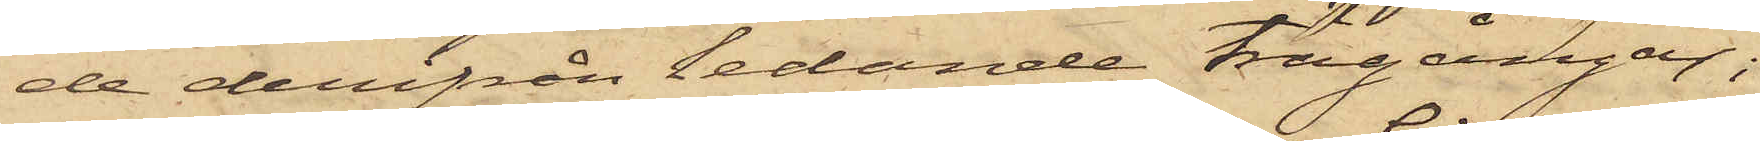de derifrån ledande trägångar;
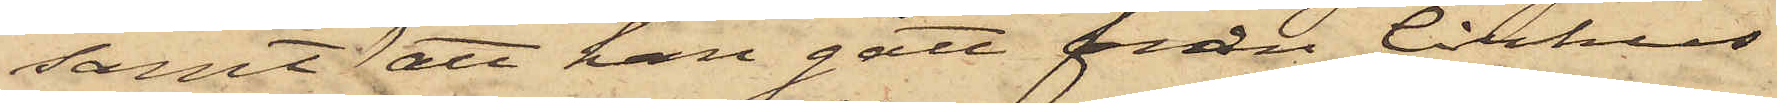samt att han gått från Cirkus
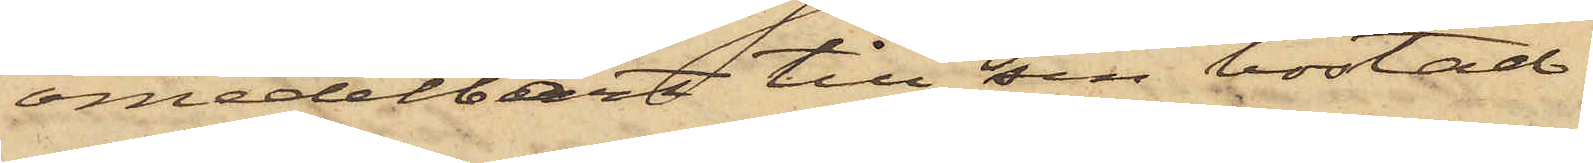omedelbart till sin bostad.
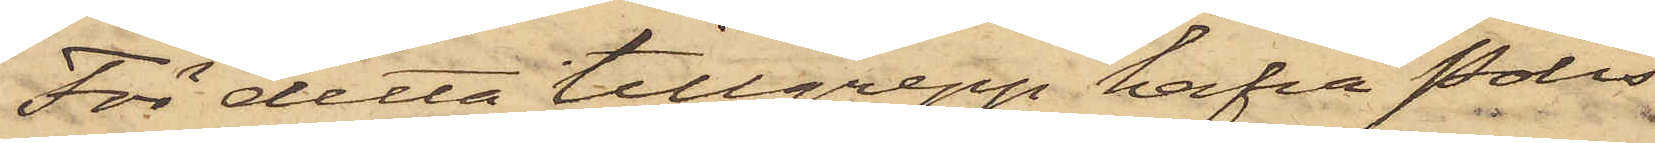För detta tillgrepp hafva Polis¬
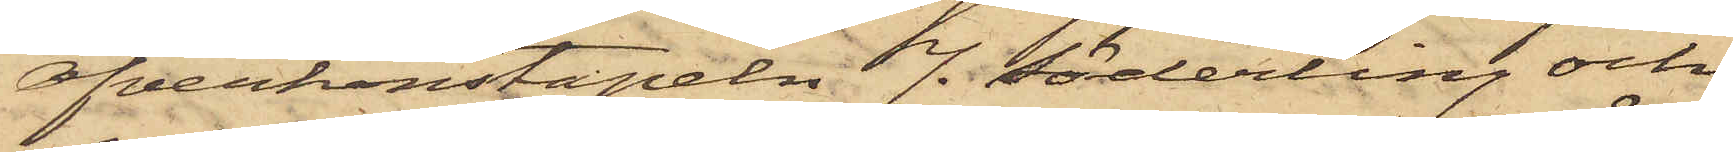Öfverkonstapeln J. Söderling och
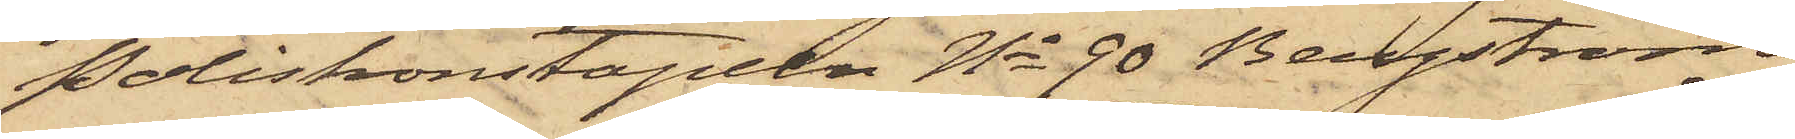Poliskonstapeln No 90 Bergström
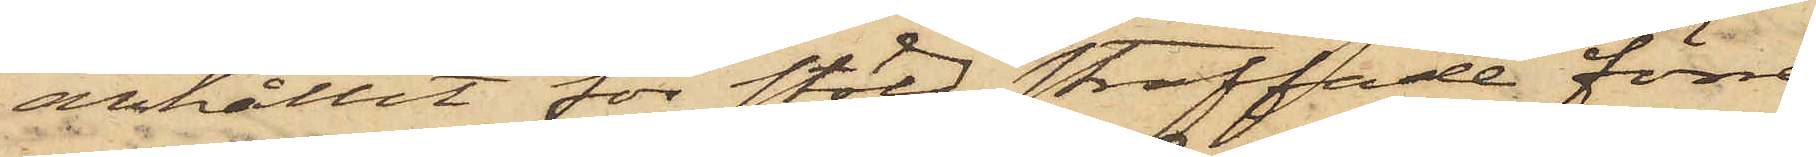anhållit för stöld straffade förre
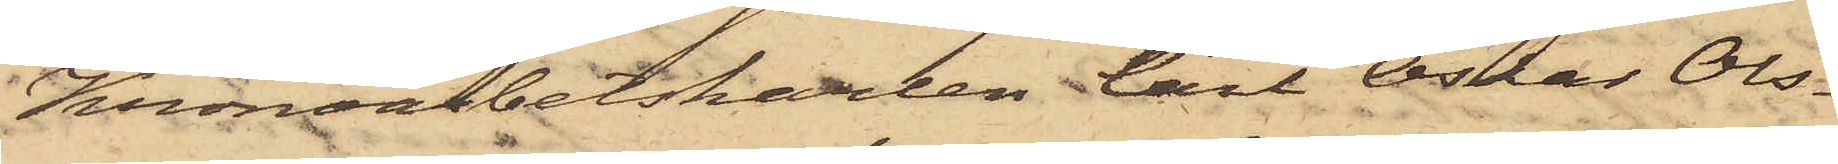Kronoarbetskarlen Carl Oskar Ols¬
